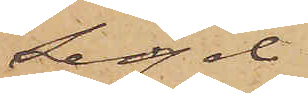Segel
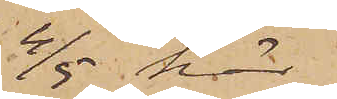4/5 här
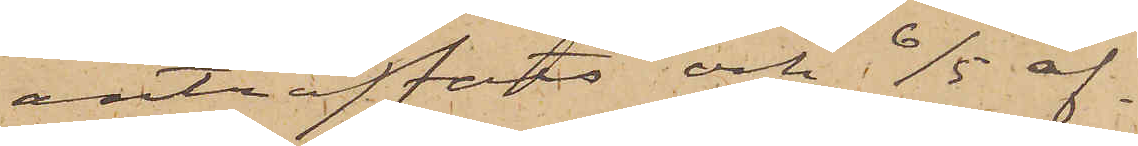anträffats och 6/5 af¬
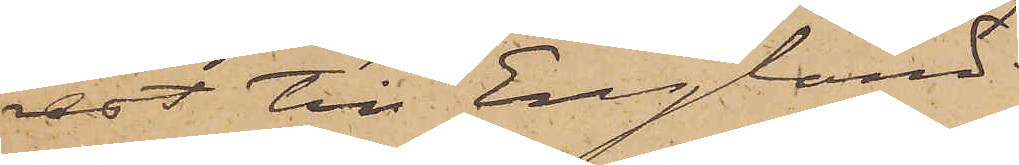rest till England.
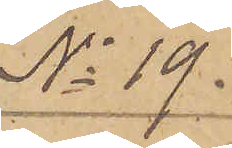No 19.
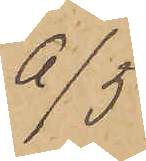6/5
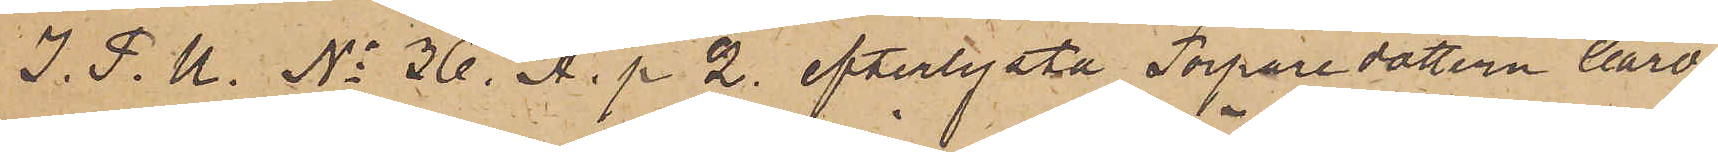I. P. U. No 36. A. p. 2. efterlysta Torparedottern Caro¬
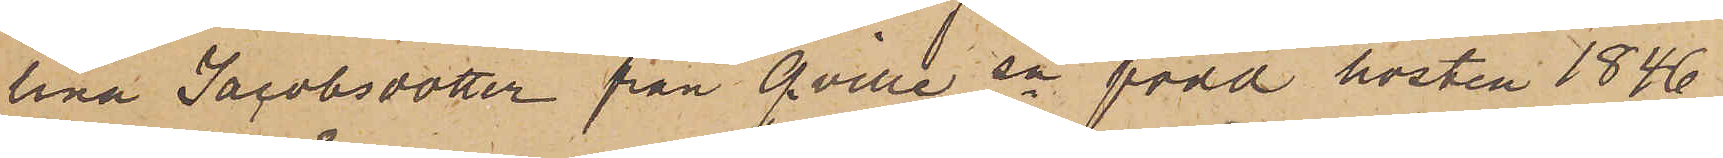lina Jacobsdotter från Qville sn född hösten 1846
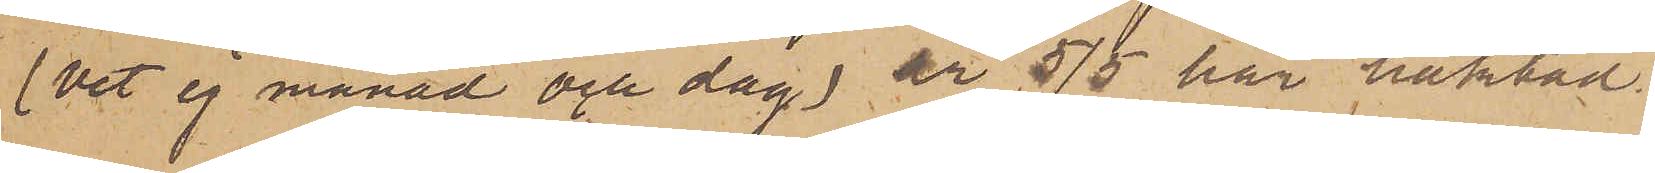(vet ej månad och dag) är 5/5 här häktad.
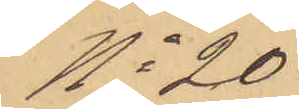No 20
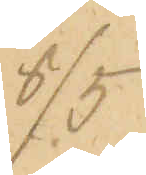6/5.
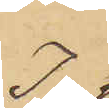I
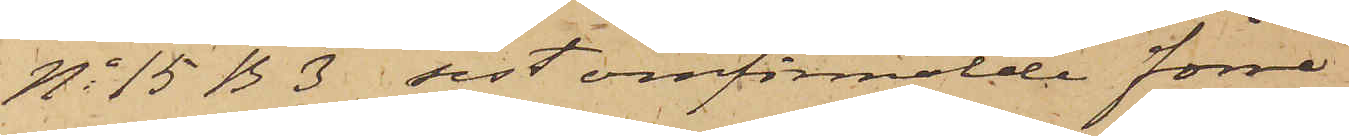No 15 B 3 sist omförmälde förre
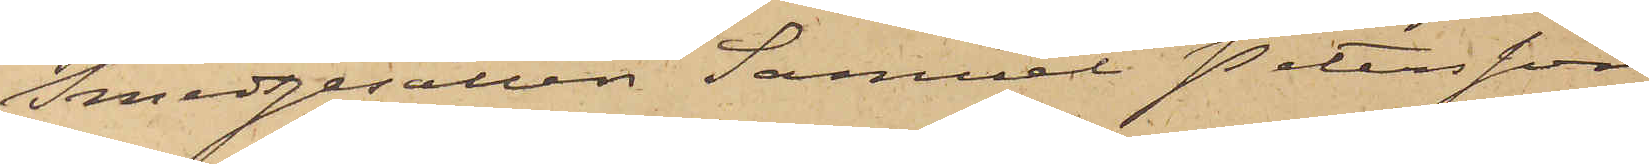Smedgesällen Samuel Petersson
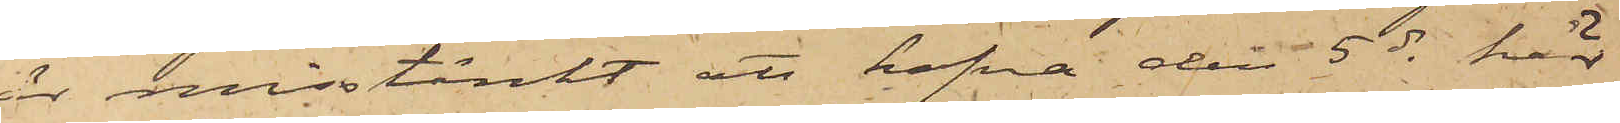är misstänkt att hafva den 5 ds här
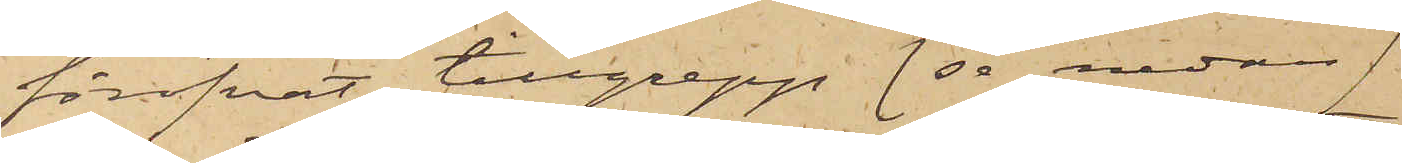föröfvat tillgrepp (se nedan)
